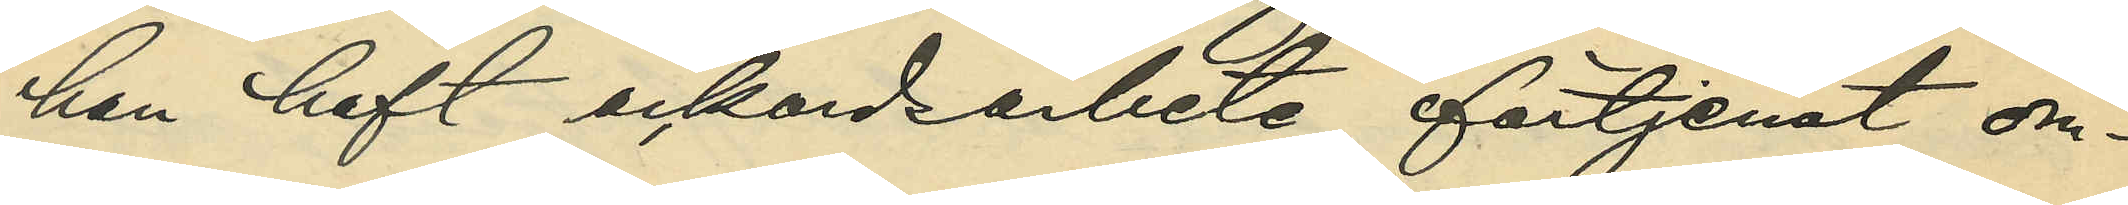han haft ackordsarbete förtjenat om¬
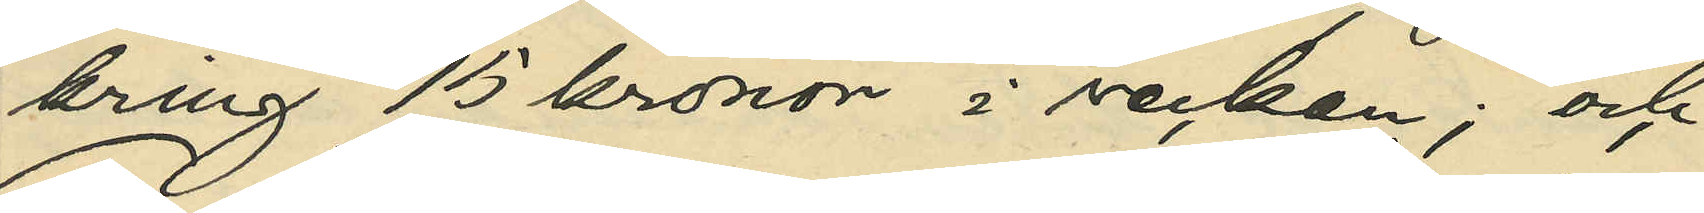kring 15 kronor i veckan; och
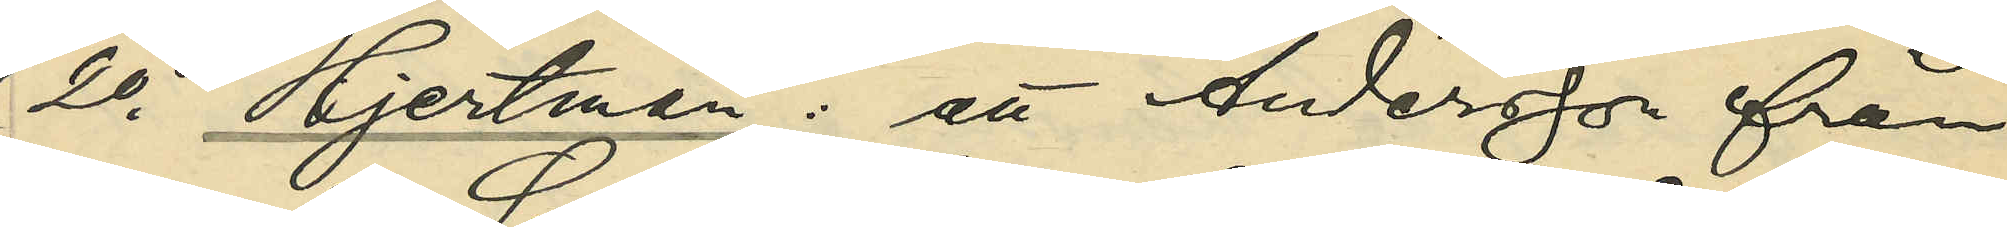2o Hjertman: att Andersson från
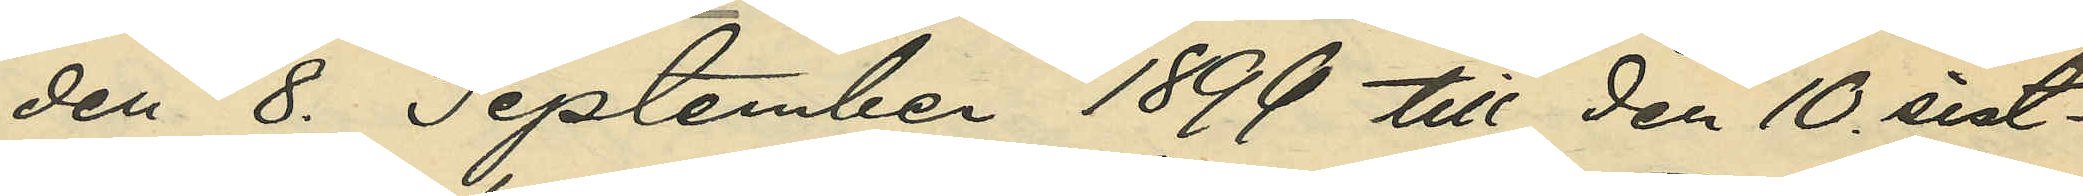den 8. September 1899 till den 10. sist¬
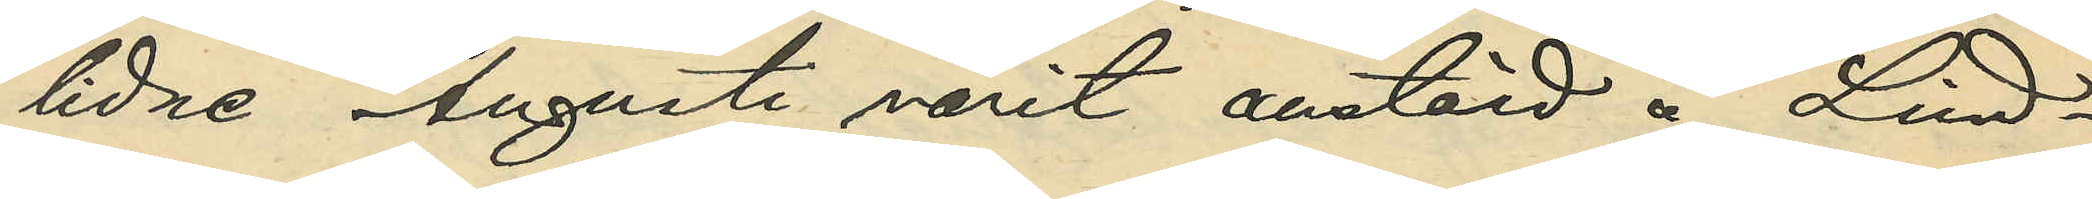lidne Augusti varit anstäld å Lind¬
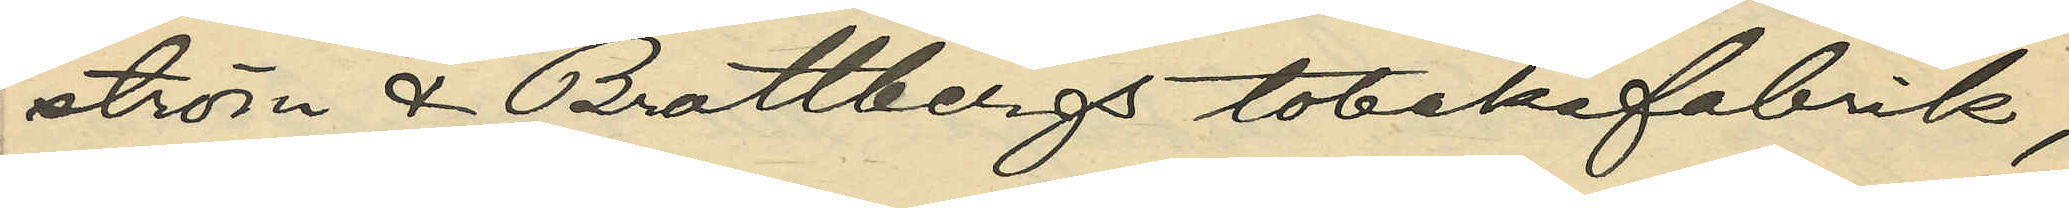ström & Brattbergs tobaksfabrik;
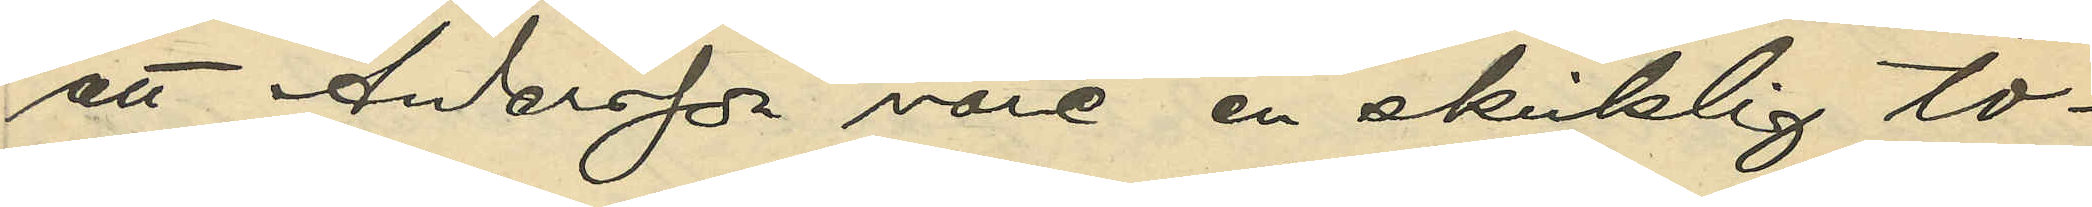att Andersson vore en skicklig to¬
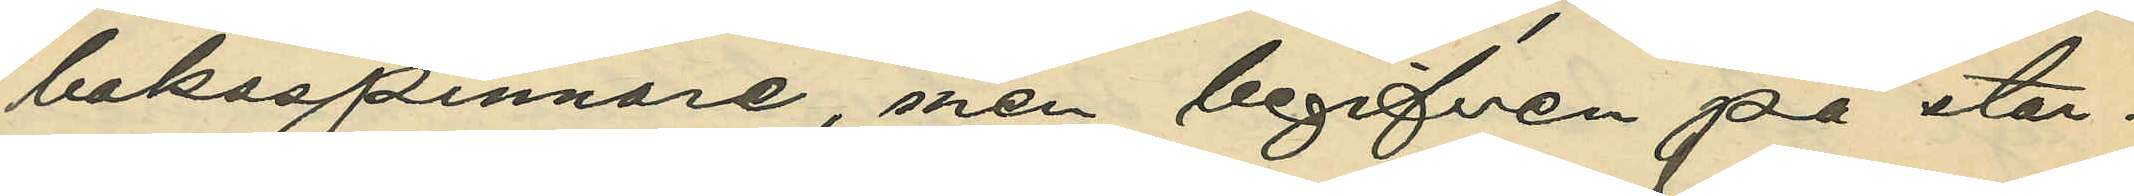baksspinnare, men begifven på star¬
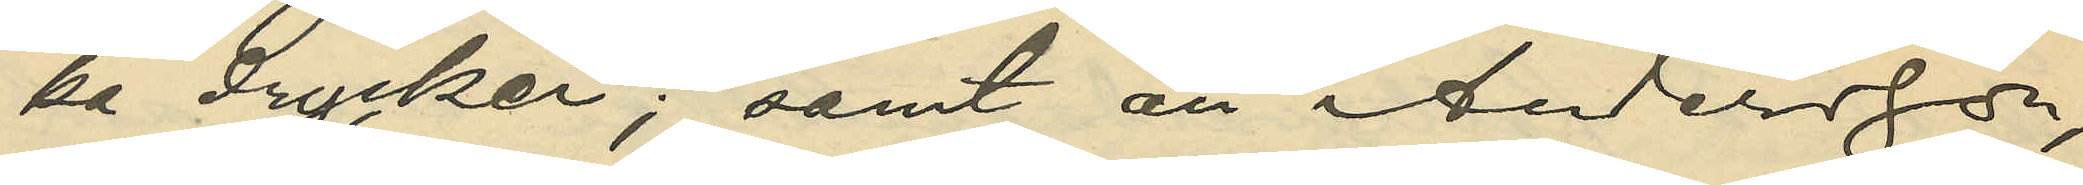ka drycker; samt att Andersson,
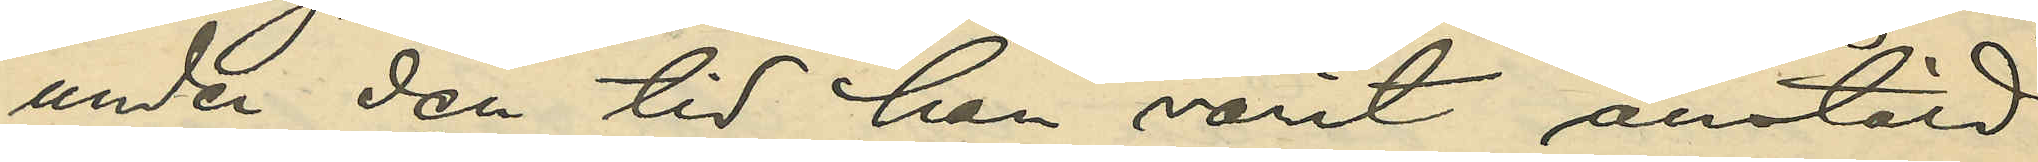under den tid han varit anstäld
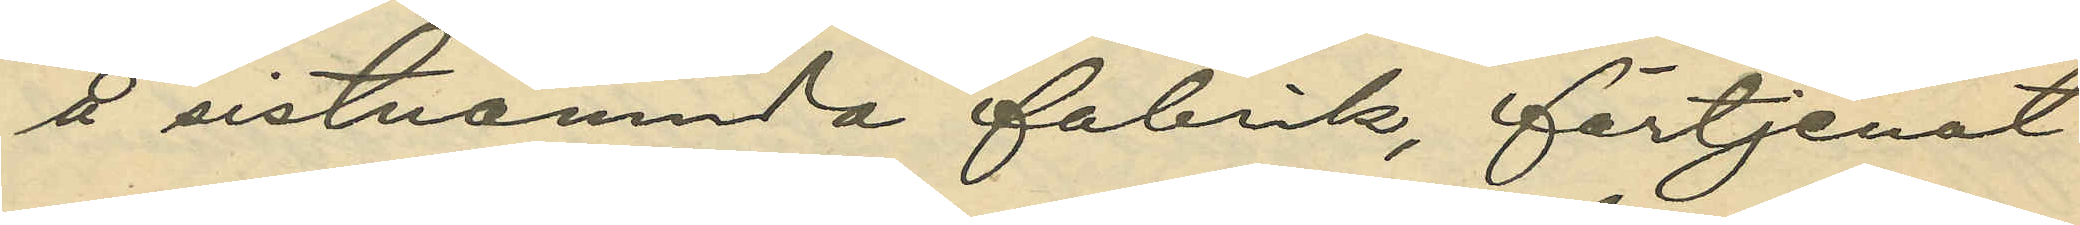å sistnämnda fabrik, förtjenat
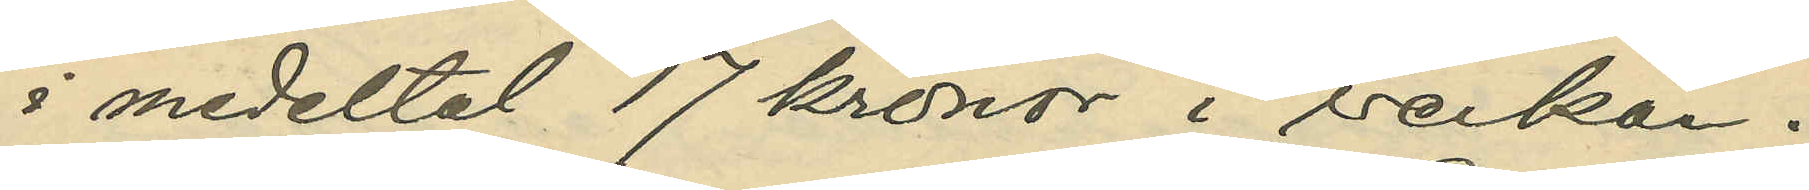i medeltal 17 kronor i veckan.
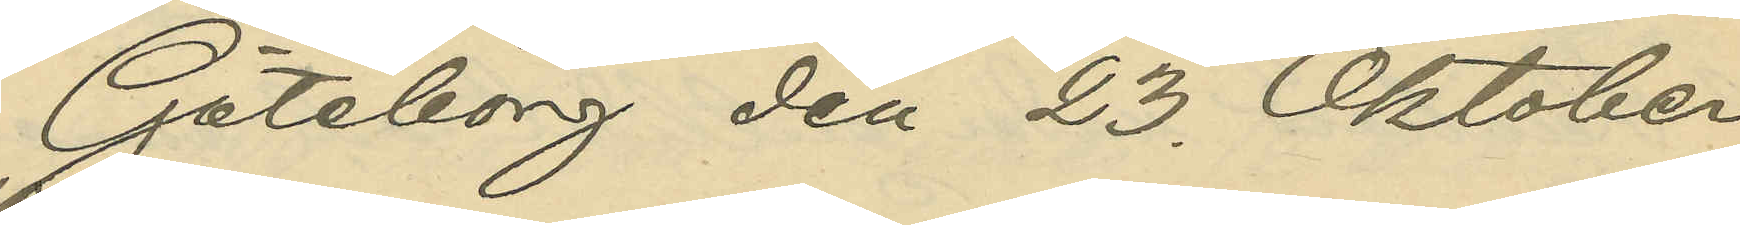Göteborg den 23. Oktober
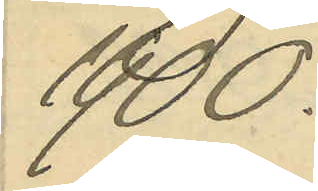1900.
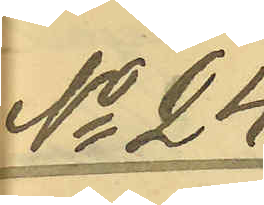No 24
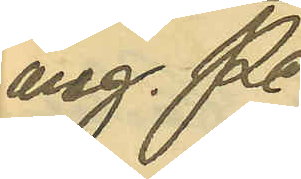ang. Pe¬
